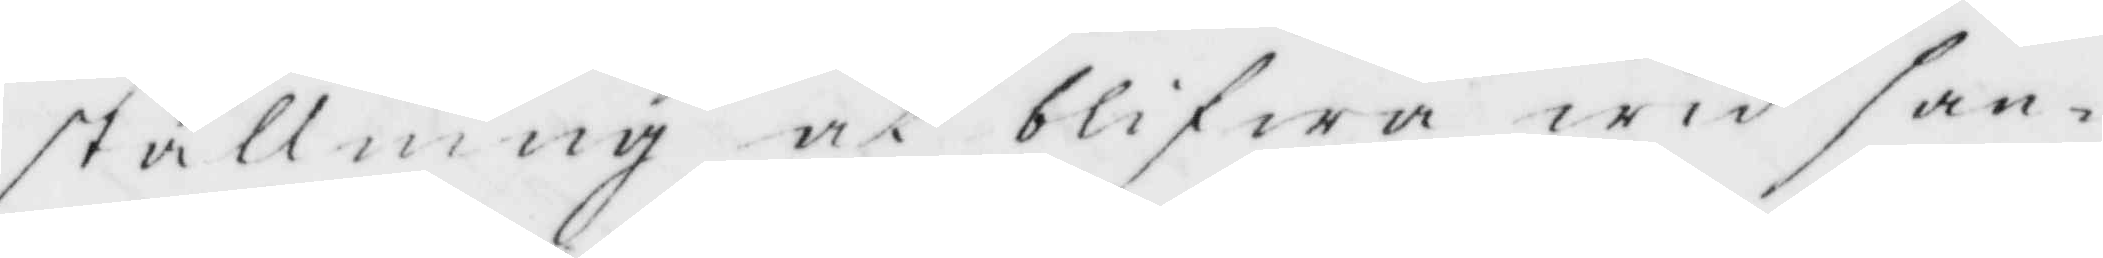ställning at blifwa wid san¬
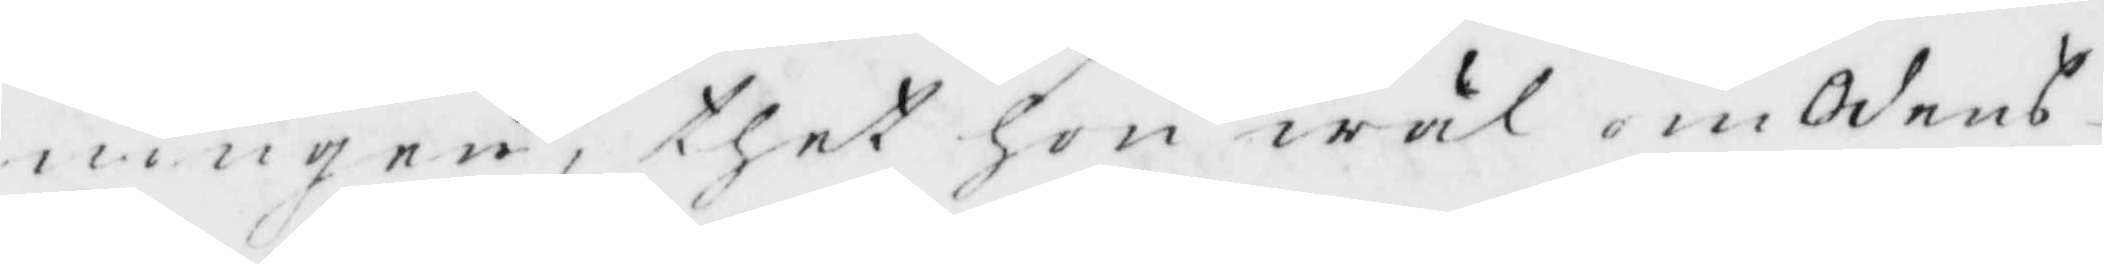ningen, thet hon wäl om Odens¬
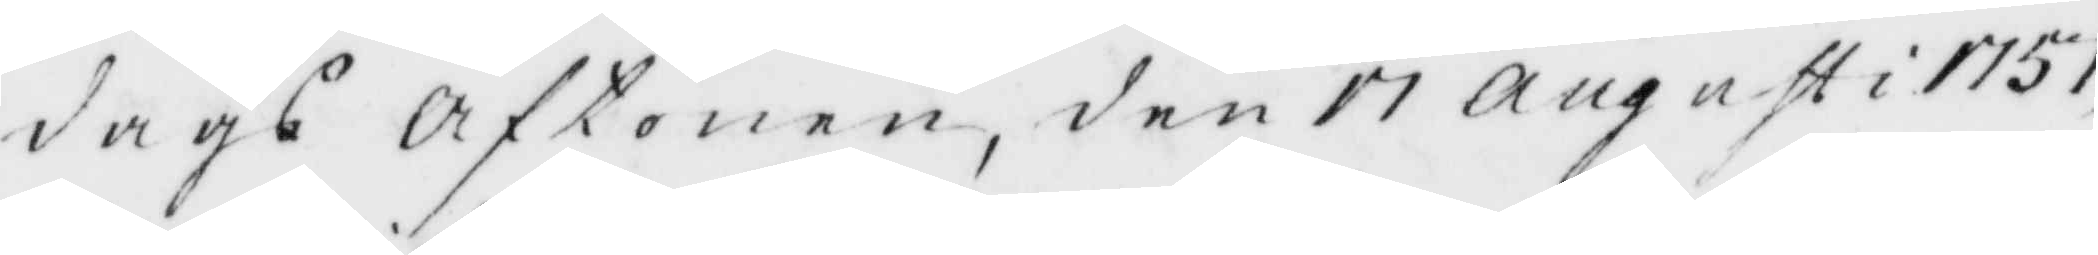dags Aftonen, den 17 Augusti 1757,
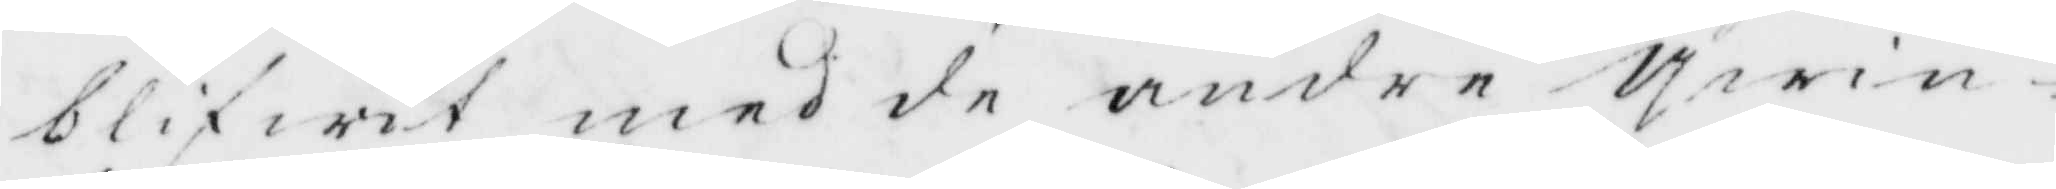blifwit med de andre qwin¬
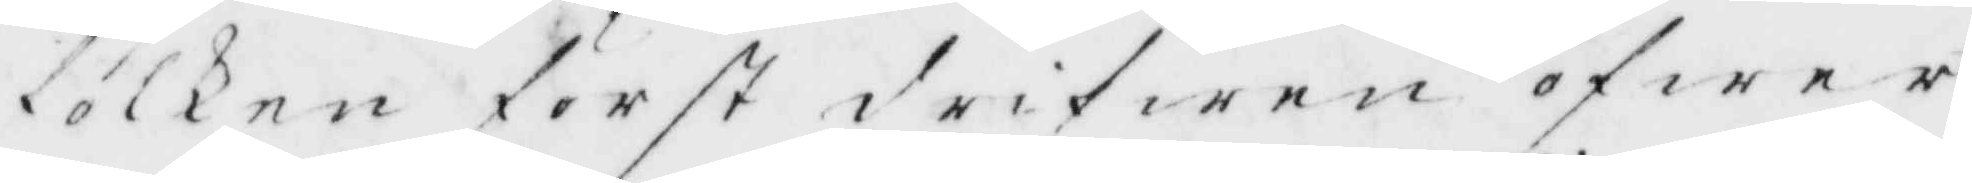fölken först drifwen öfwer
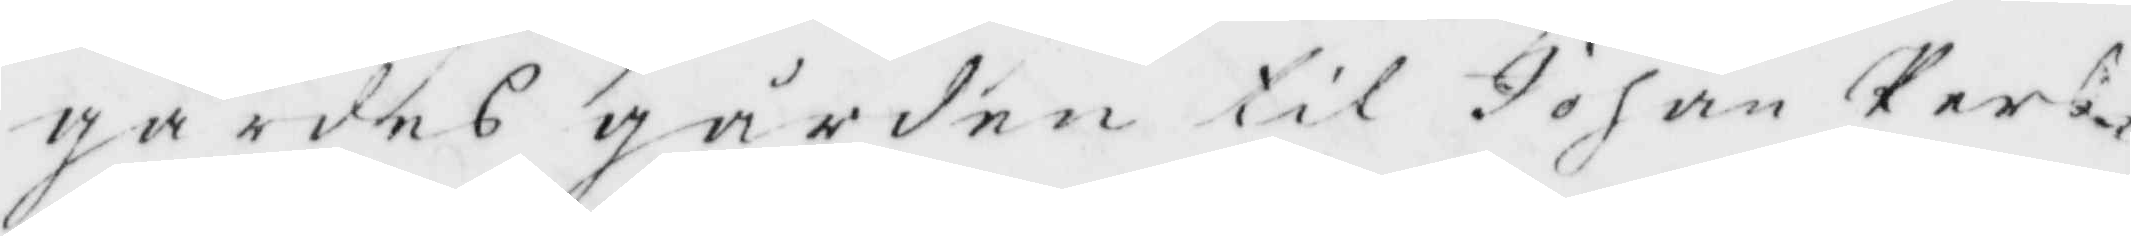gärdes gården til Johan Pers¬
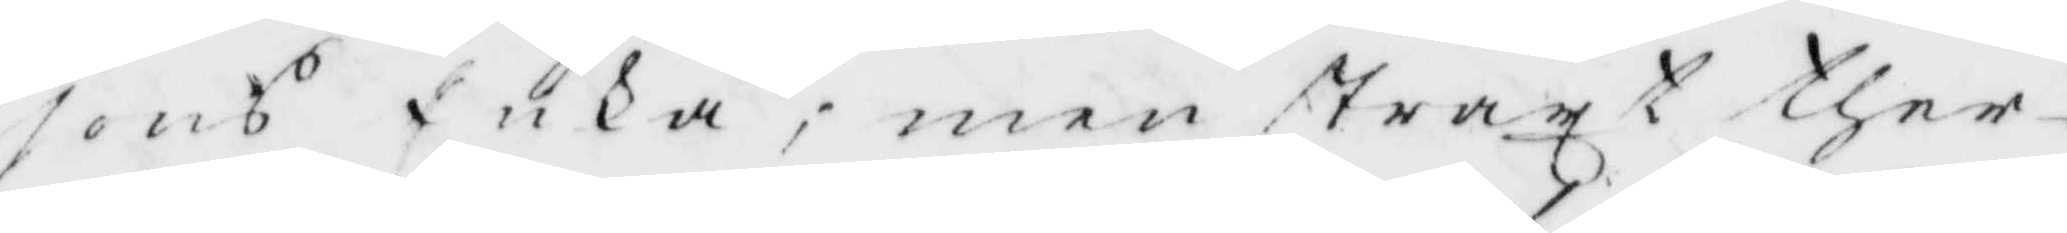sons Enka; men straxt ther¬
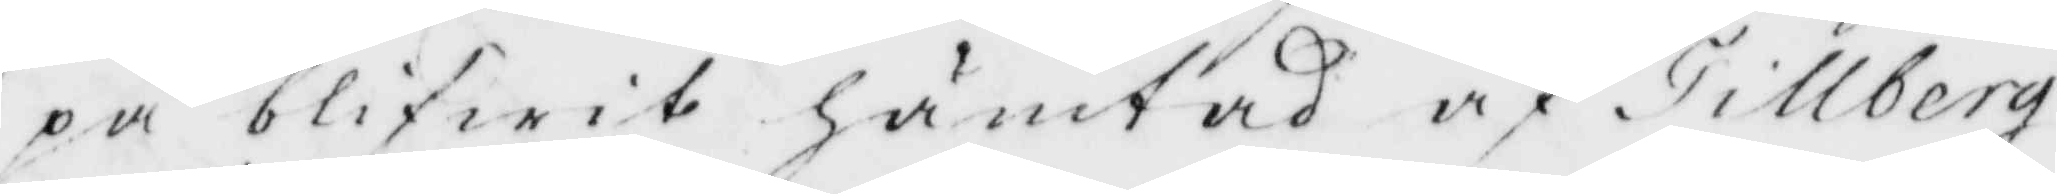på blifwit hämtad af Tillberg
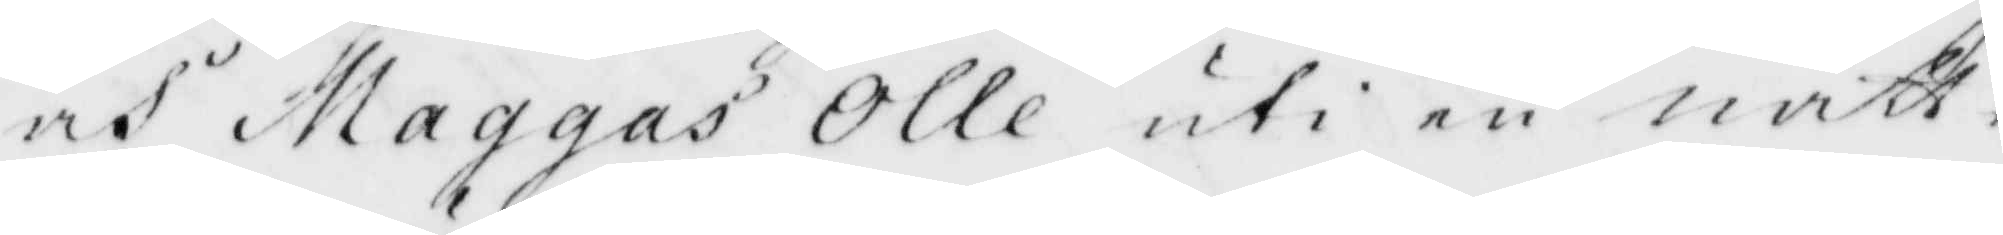och Maggas Olle uti en natt¬
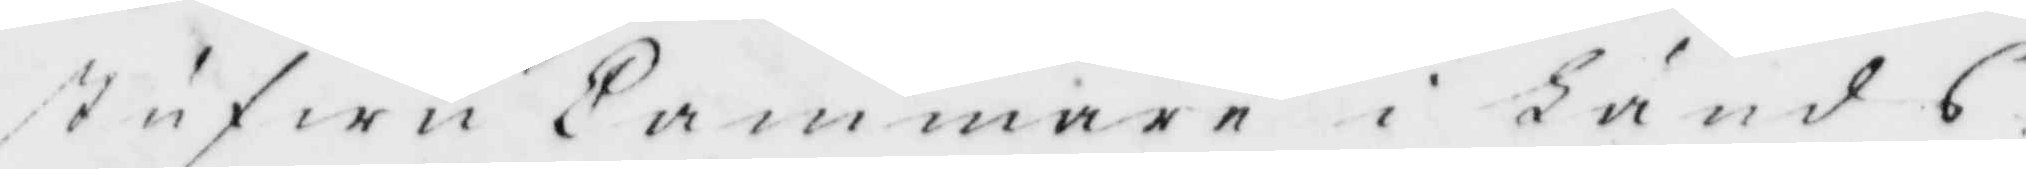stufwu Cammare i Länds¬
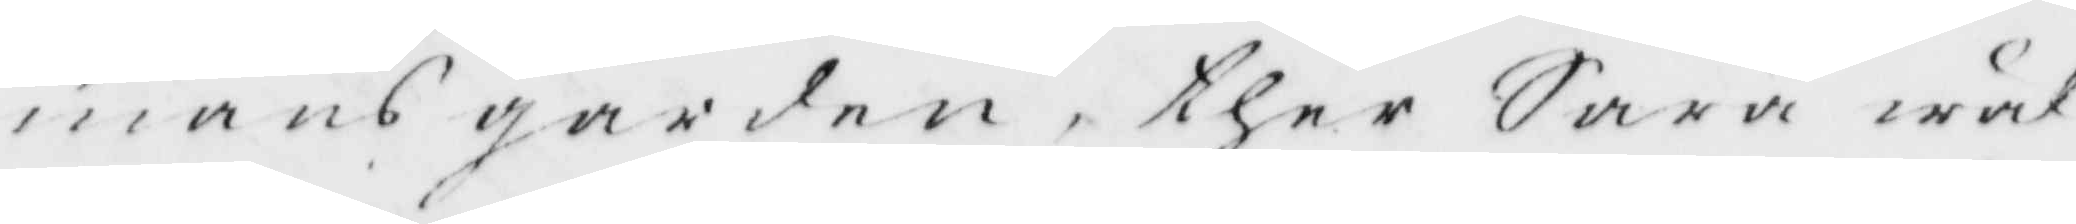mans gården, ther Sara wäl
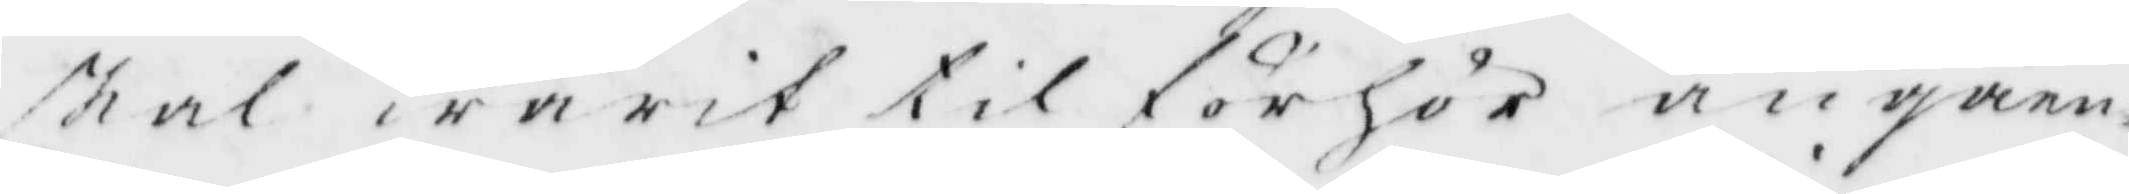skal warit til förhör angåen¬
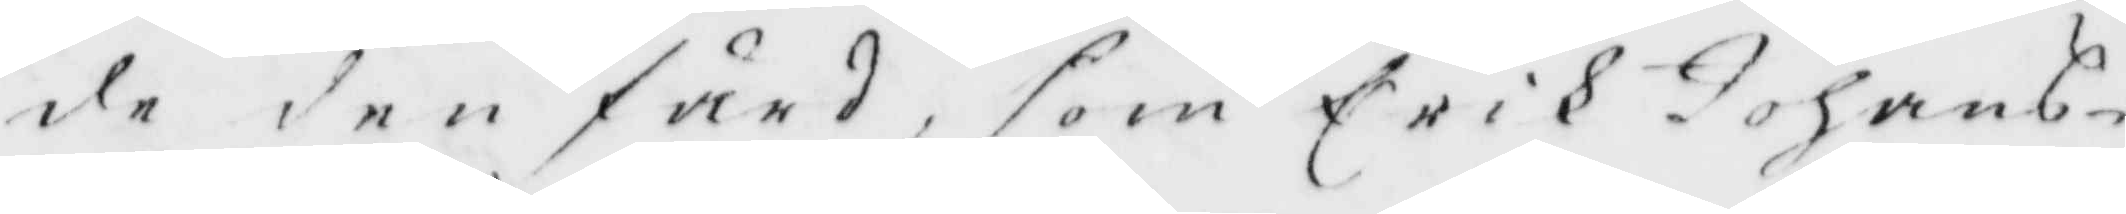de den färd, som Erik Johans¬
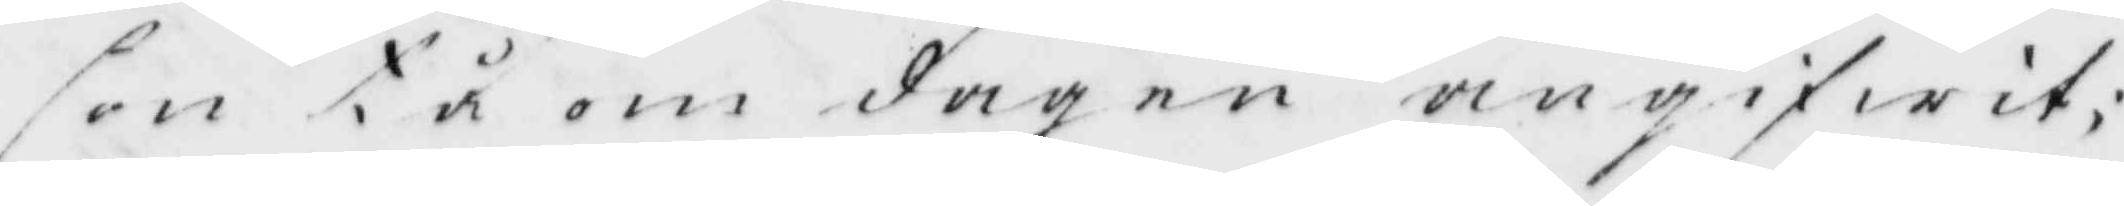son tå om dagen angifwit
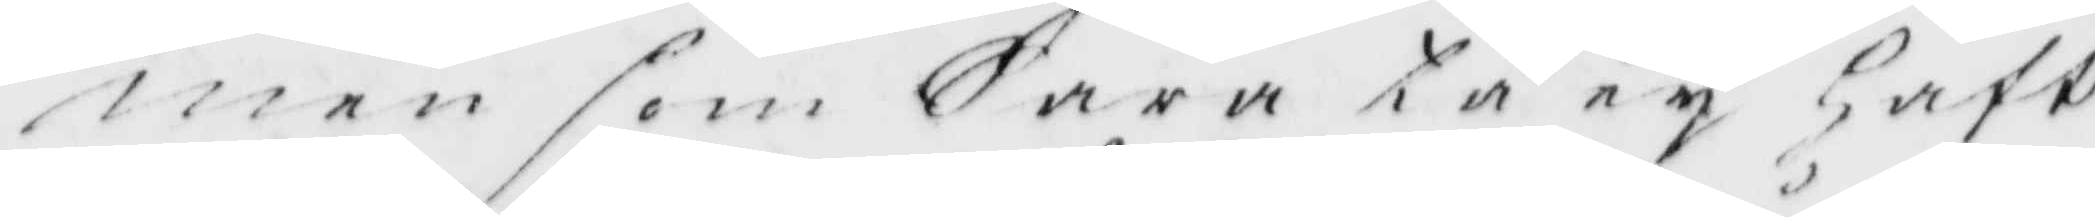men som Sara tå ey Haft
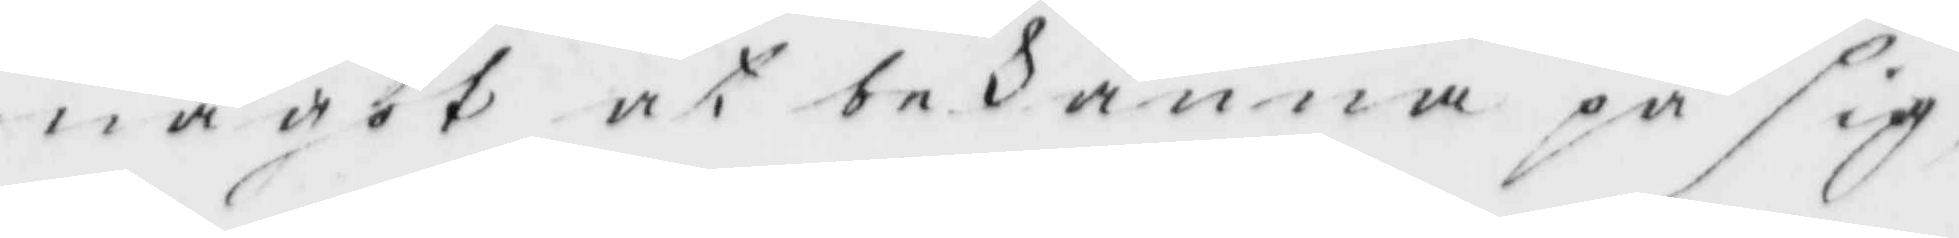något at bekänna på sig,
